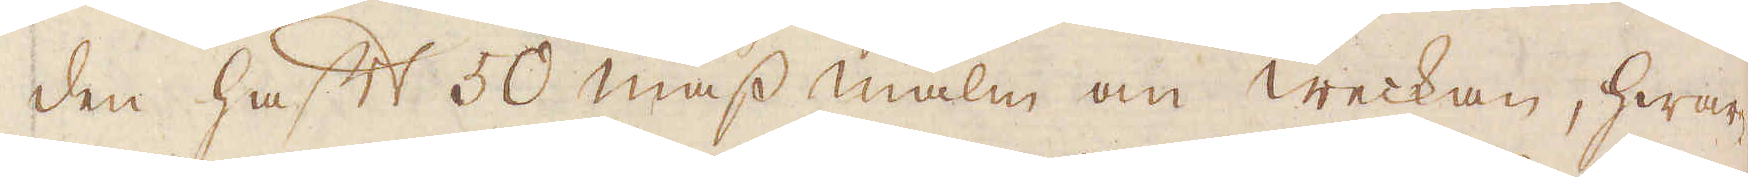den haft 50 mass malm om weckan, hwar-
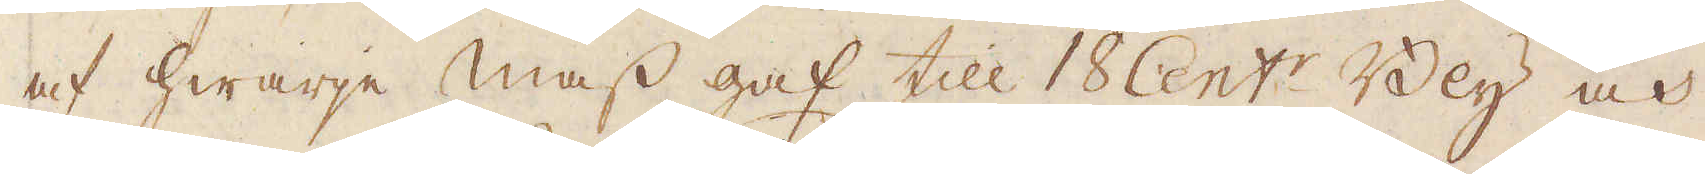af hwarje mass gaf till 18 Cent:r Bly och
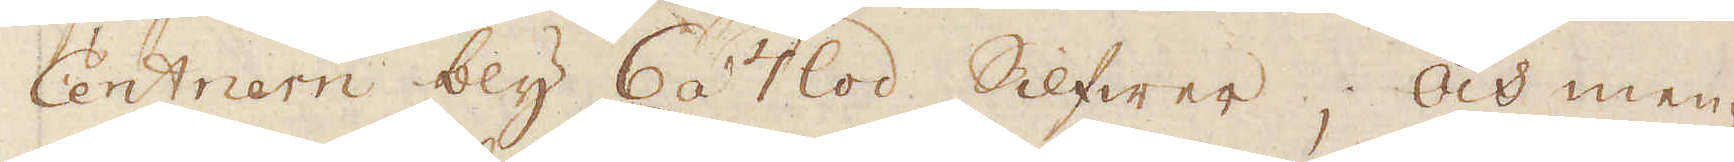Centriern bly 6 á 7 lod Silfwer; Och men-
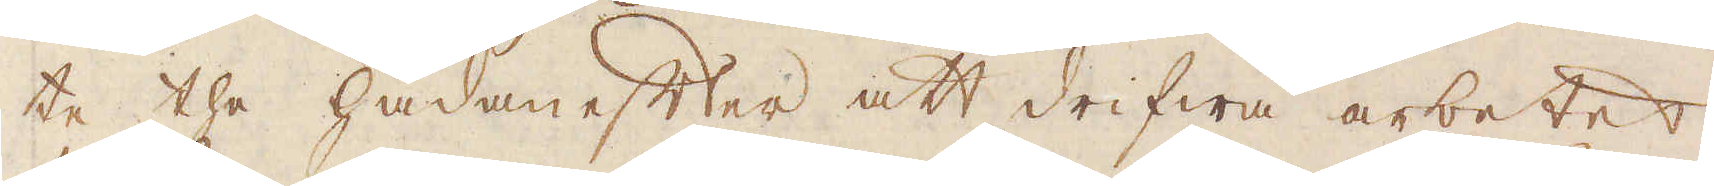te the hädanefter att drifwa arbetet
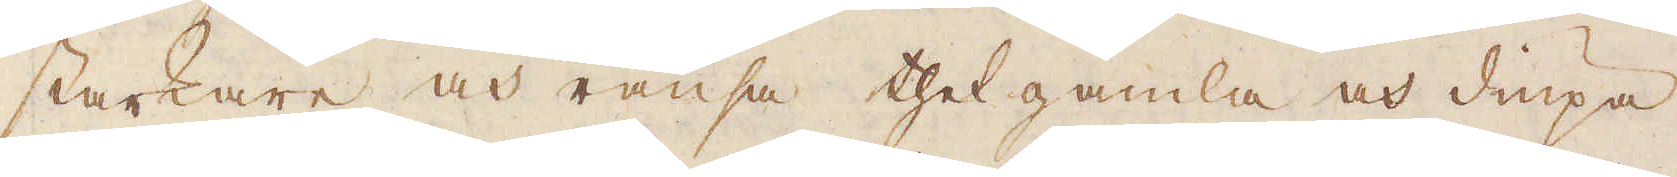starkare och ränsa thet gamla och diupa
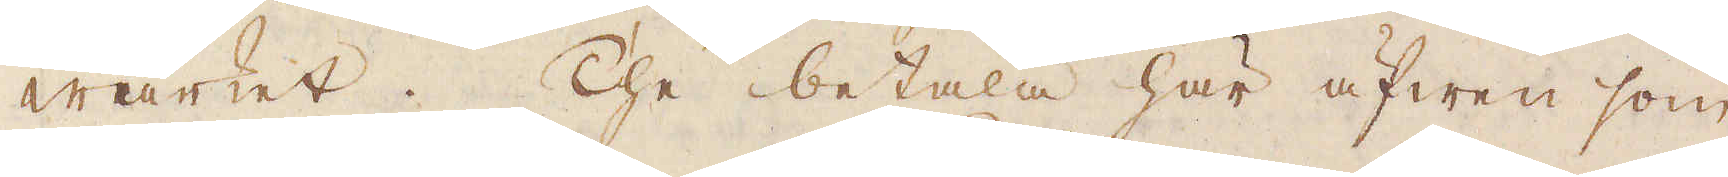wärket. The betala här äfwen som
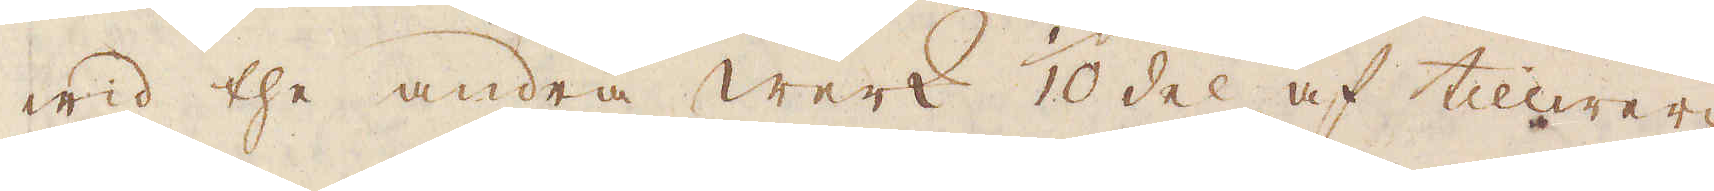wid the andra werk 10 del af tillwer-
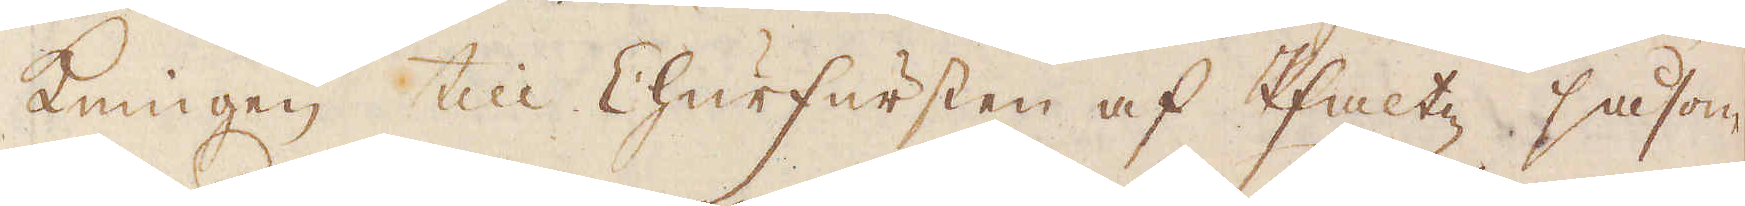kningen till Churfursten af Pfaltz, såsom
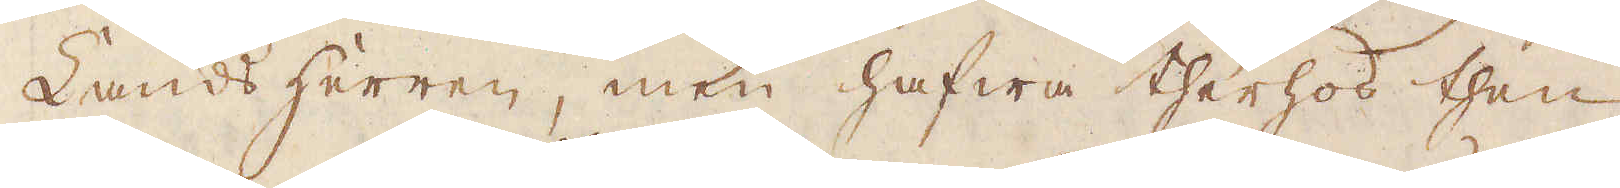Landsherren, men hafwa therhos then
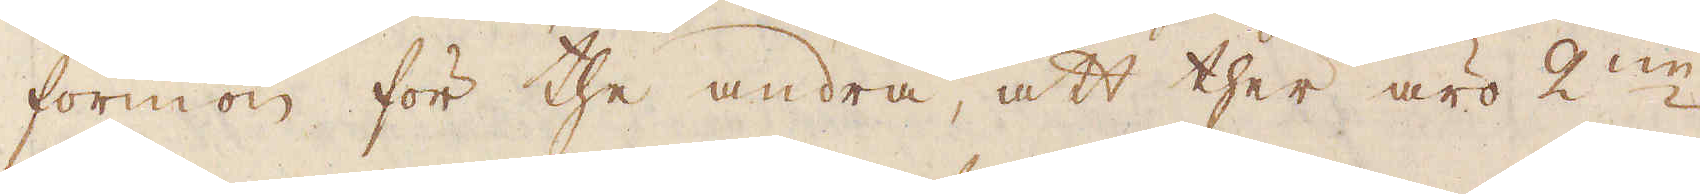förmon för the andra, att ther äro 2:ne
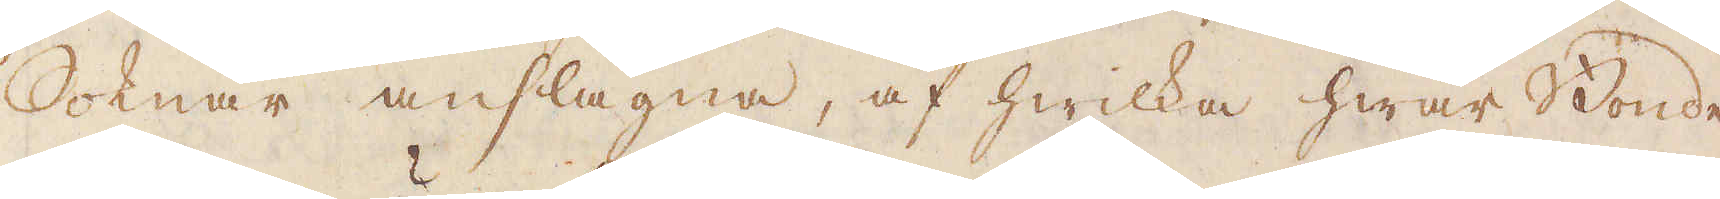Soknar anslägna, af hwilka hwar Bonde
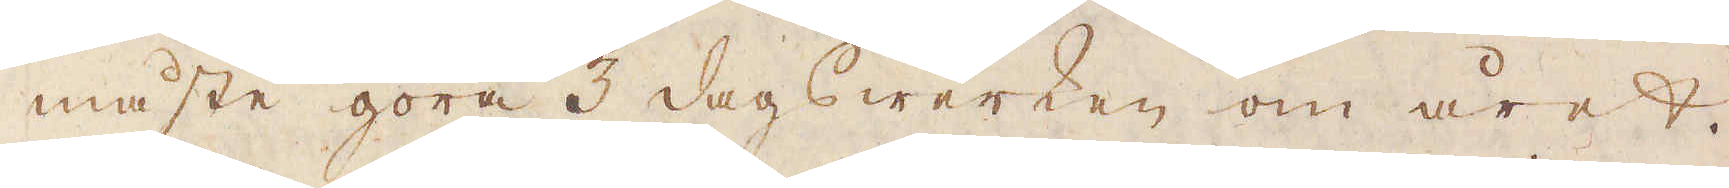måste göra 5 dagswerken om året.
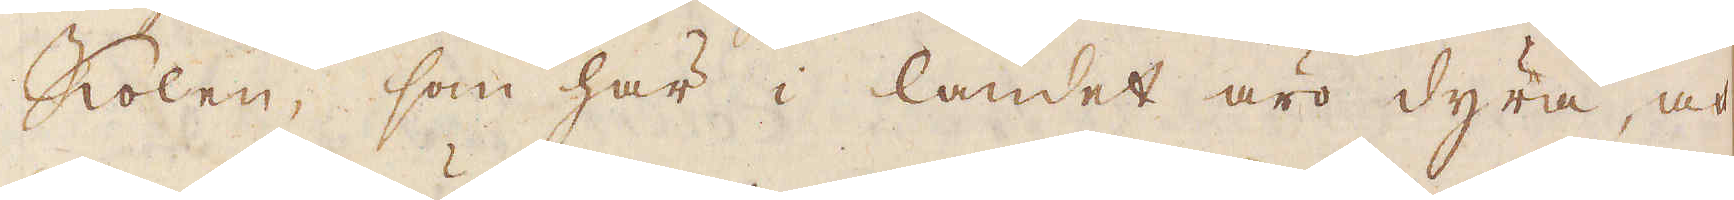Kolen, som här i landet äro dyra, och
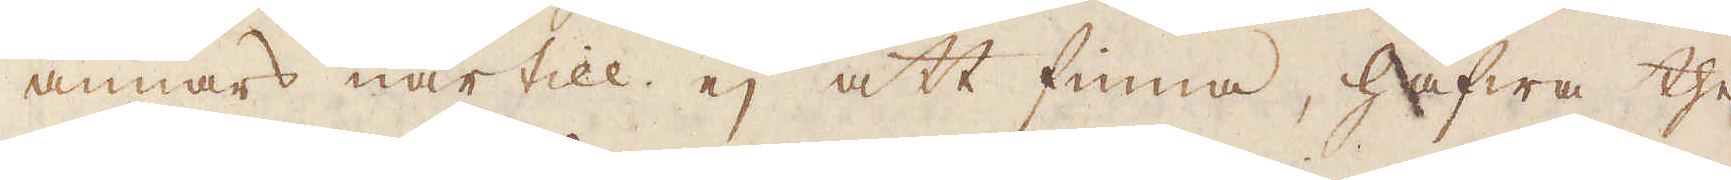annars när till ej att finna, hafwa the
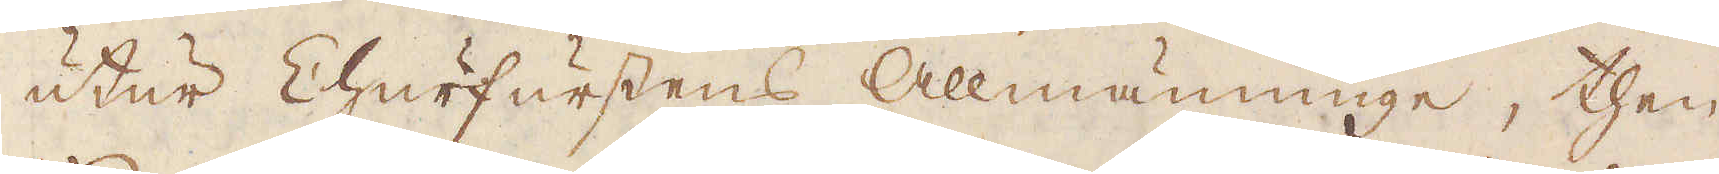utur Churfurstens Allmänninge, then
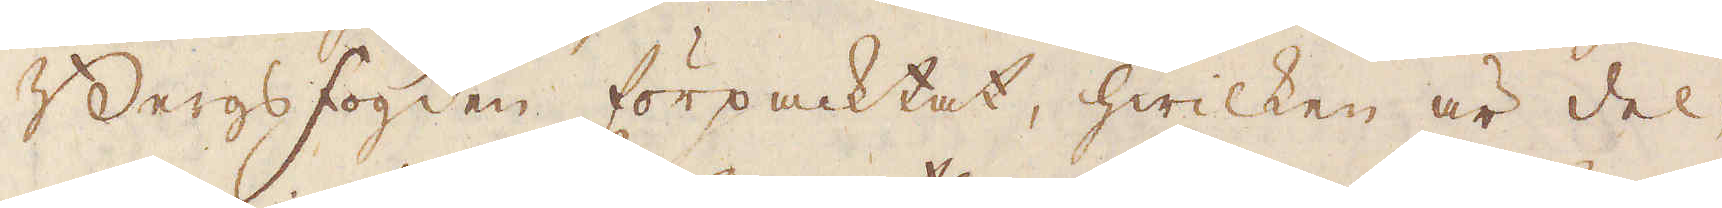Bergsfogden förpacktat, hwilken är del-
